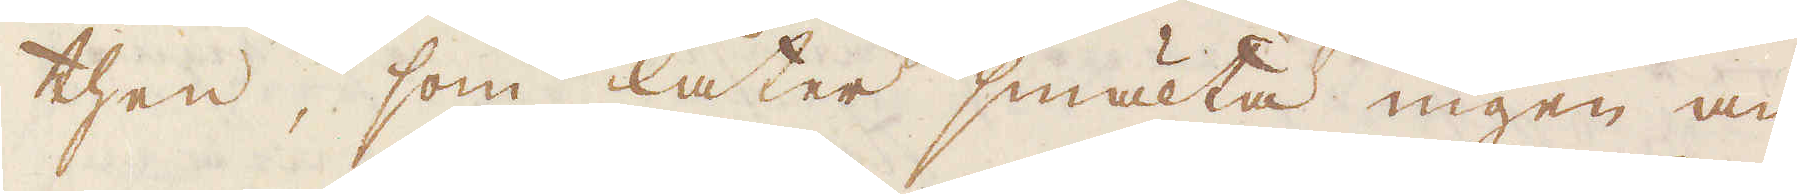then, som låter smälta ingen an-
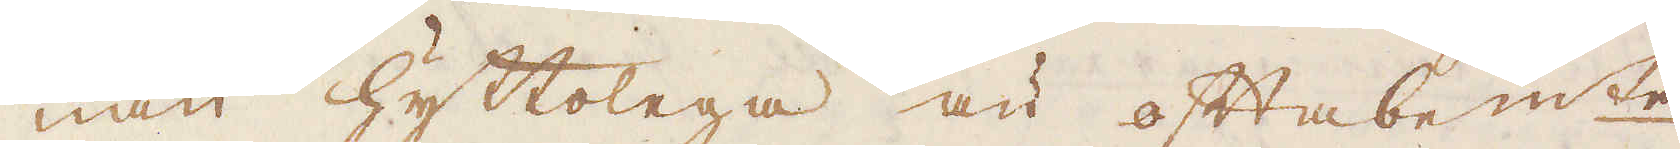nan hyttolega än oftabem:te
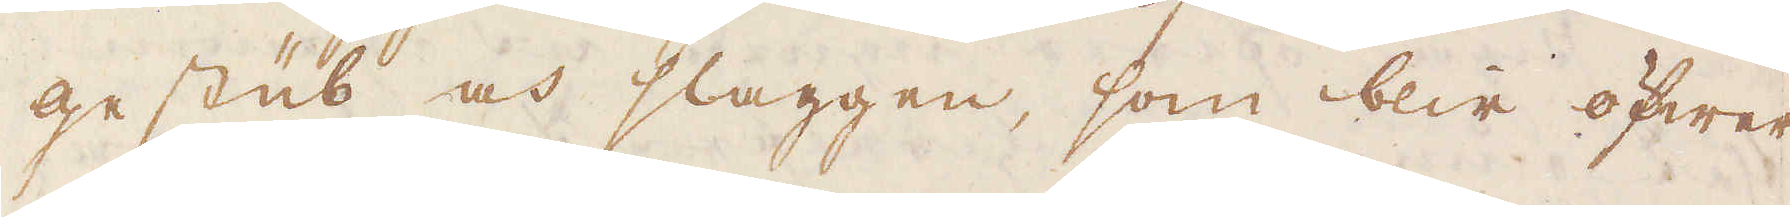gestüb och slaggen, som blir öfwer
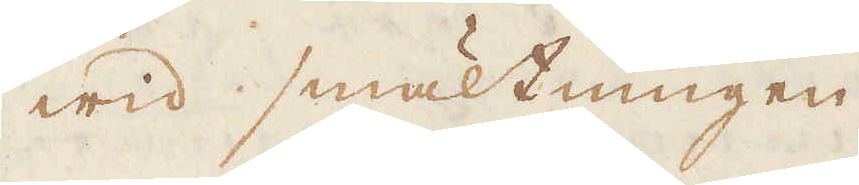wid smältningen.
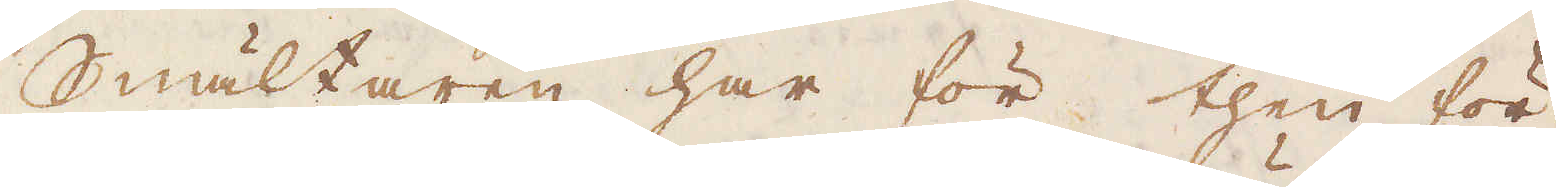Smältaren har för then för-
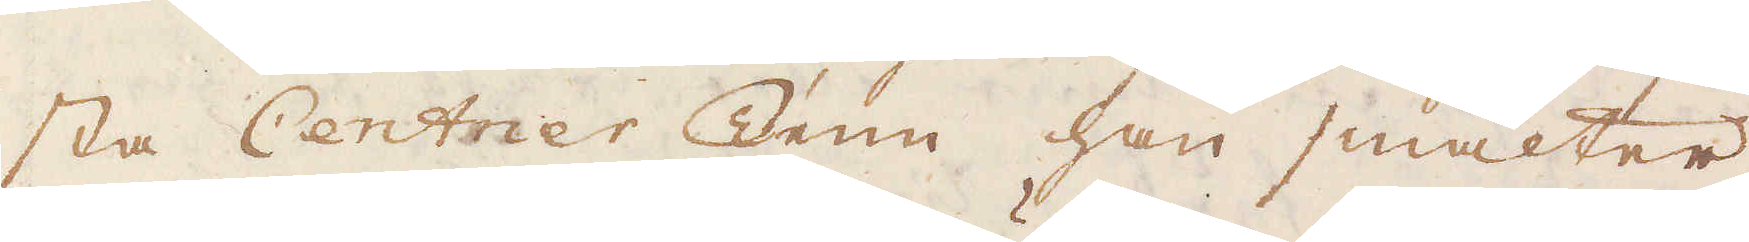sta Centner Tenn han smälter
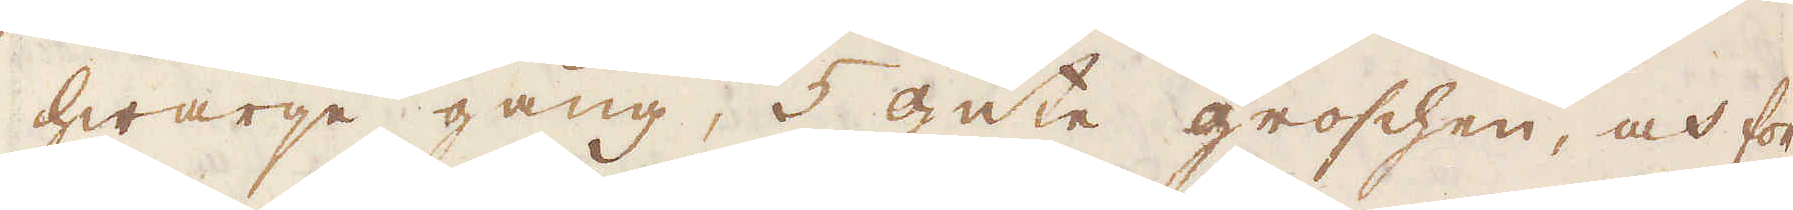hwarje gång, 5 gute groschen, och för
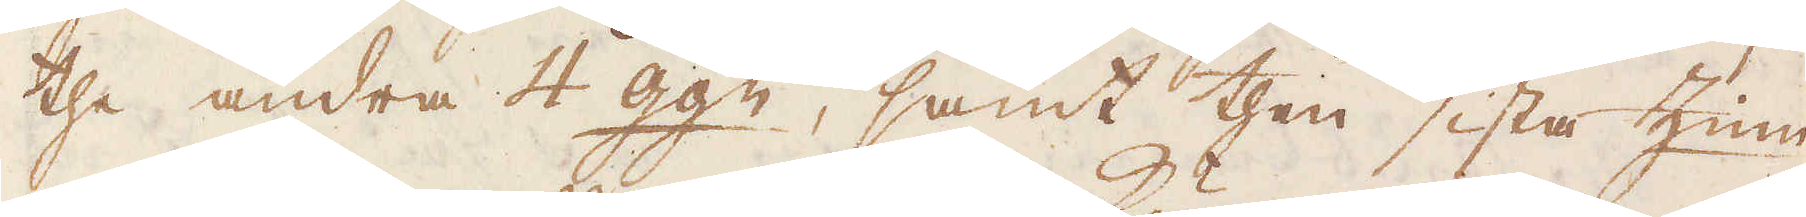the andra 4 gg:n, samt then sista Zinn-
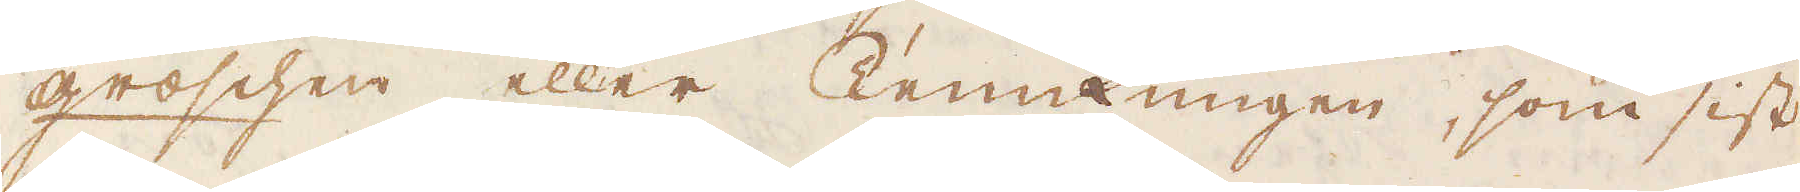groschen, eller Tennkungen, som sist
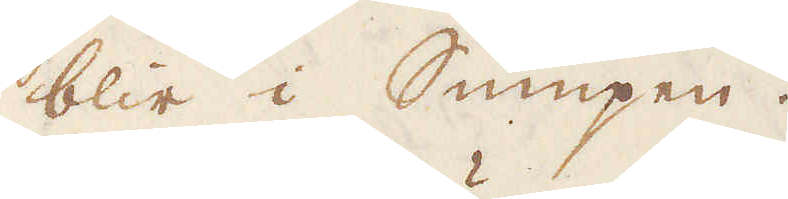blir i Sumpen.
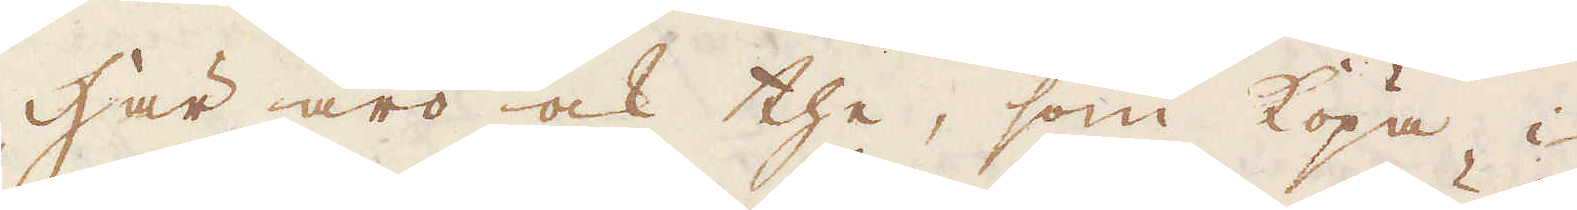Här äro ock the, som köpa i
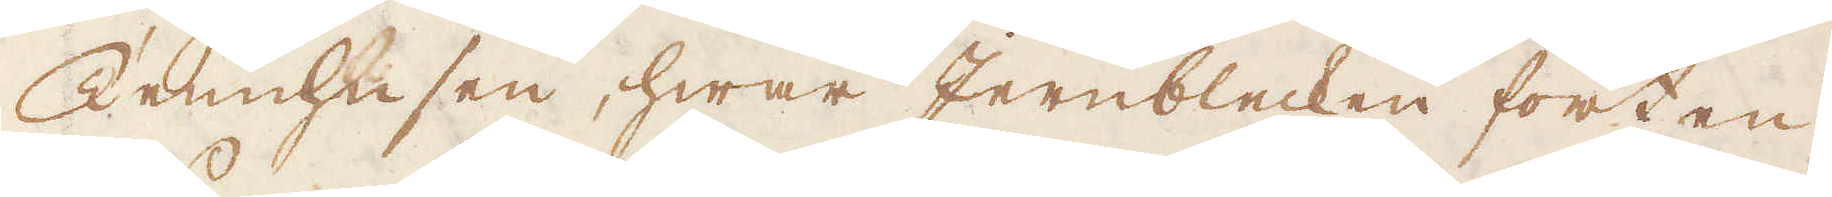Tennhusen, hwar Jernblecken förten-
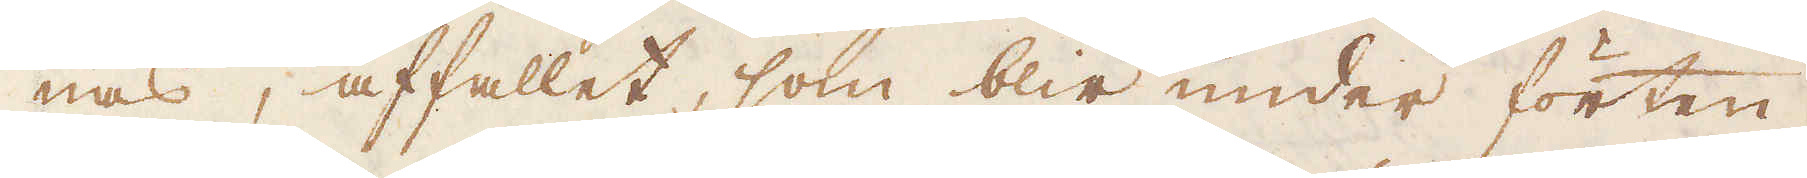nas, affallet, som blir under förten-
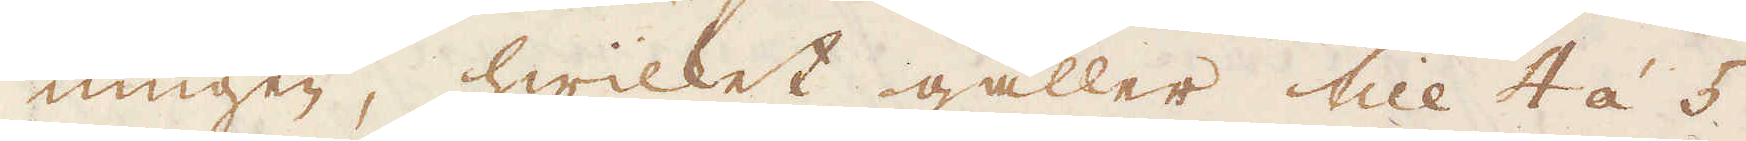ningen, hwilket gäller till 4 á 5
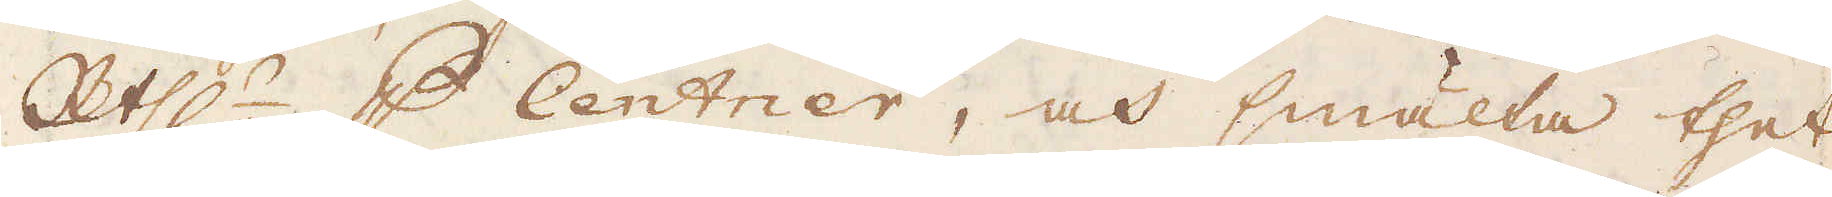R:thlr p Centner, och smälta thet
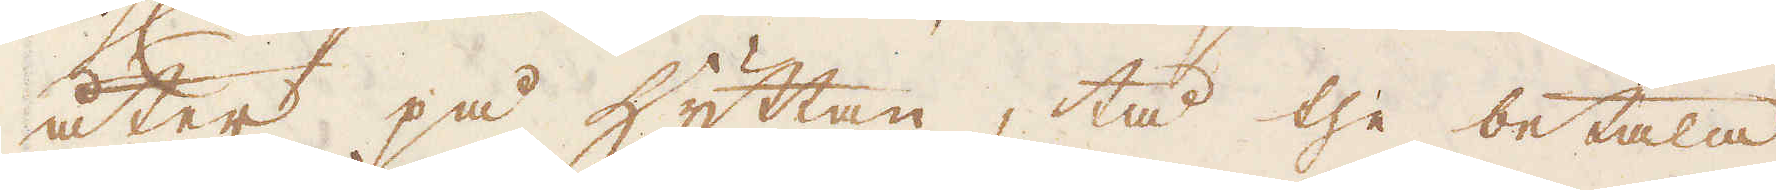åter på hyttan, tå the betala
